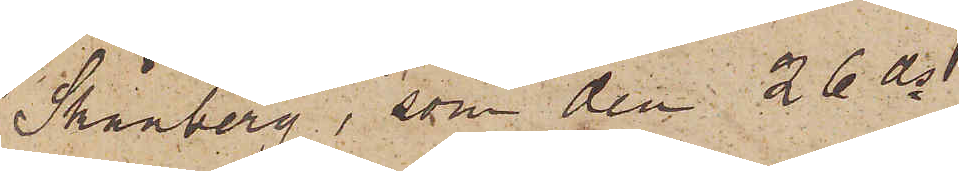Skånberg, som den 26 ds
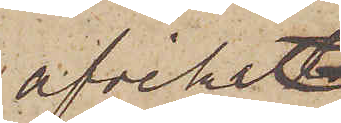afvikit
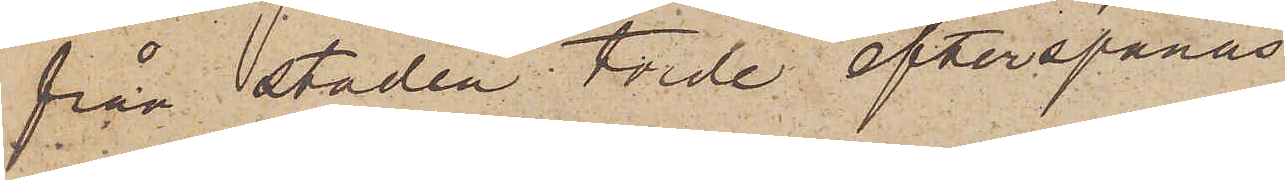från staden torde efterspanas
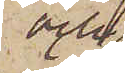och
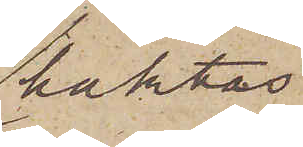häktas.
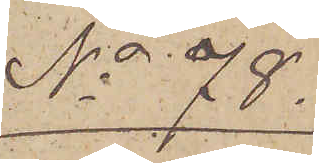No 78.
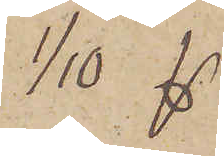1/10 
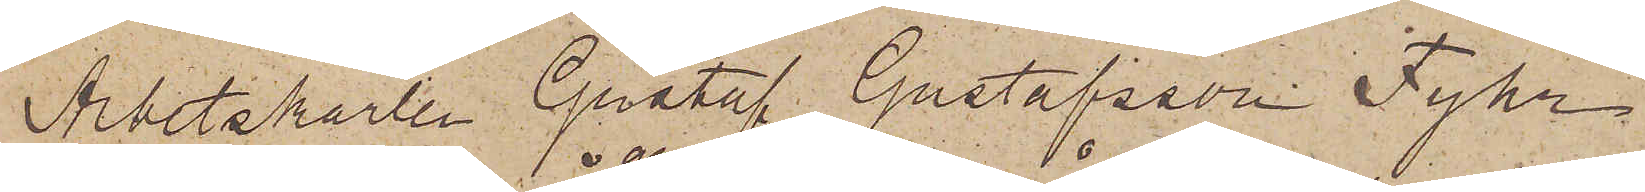Arbetskarlen Gustaf Gustafsson Fyhr
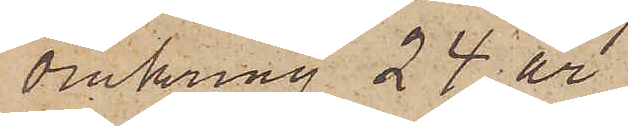omkring 24 år
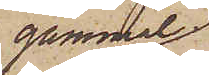gammal,
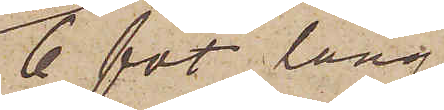6 fot lång,
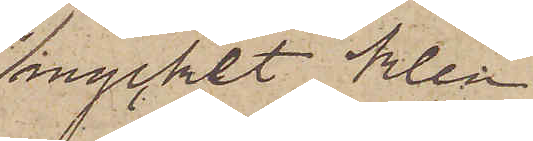mycket klen
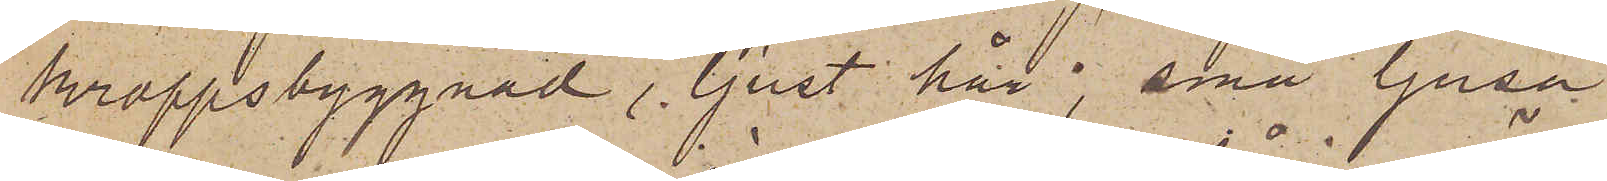kroppsbyggnad, ljust hår, små ljusa
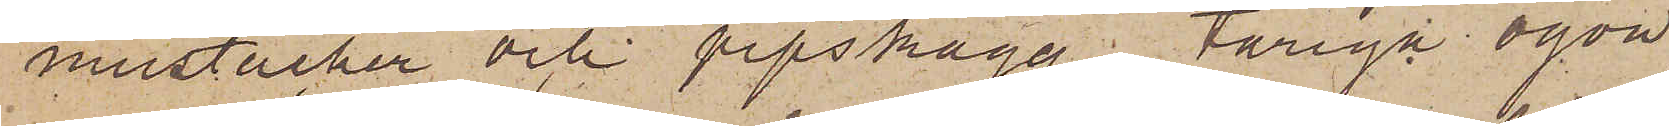mustacher och pipskägg, tåriga ögon,
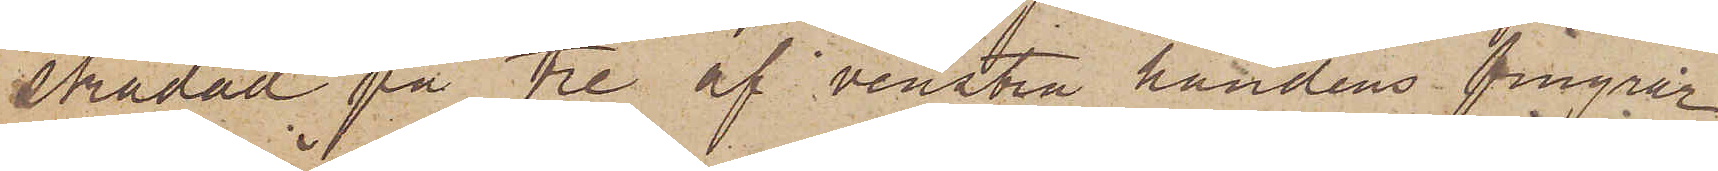skadad på tre af venstra handens fingrar
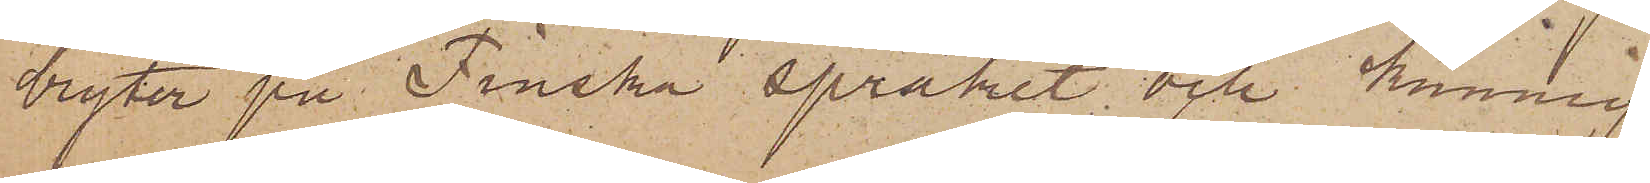bryter på Finska språket; och kunnig
